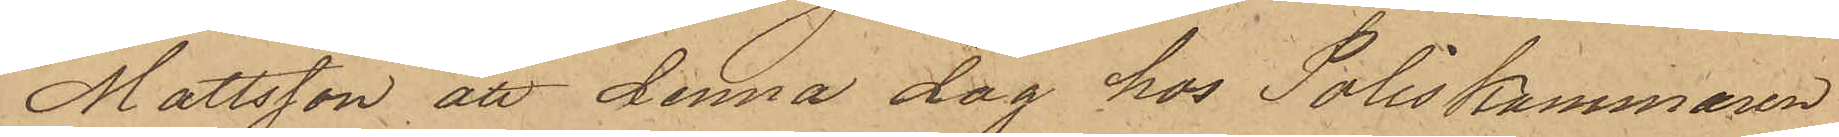Mattsson att denna dag hos Poliskammaren
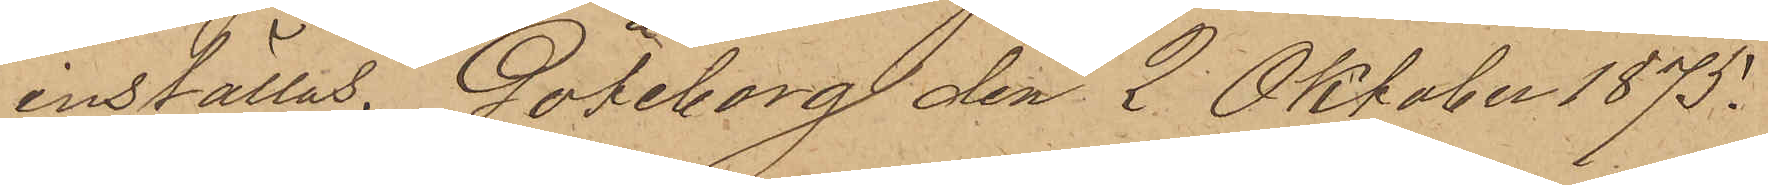inställas. Göteborg den 2 Oktober 1875.
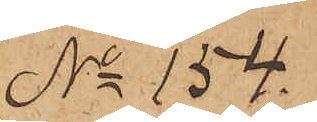No 154.
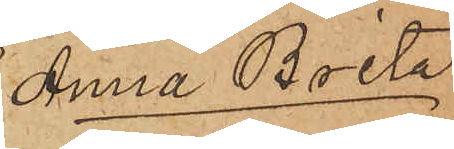Anna Brita
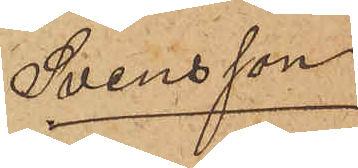Svensson
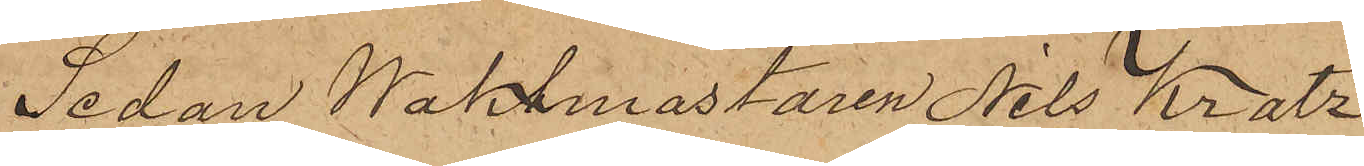Sedan Waktmästaren Nils Kratz
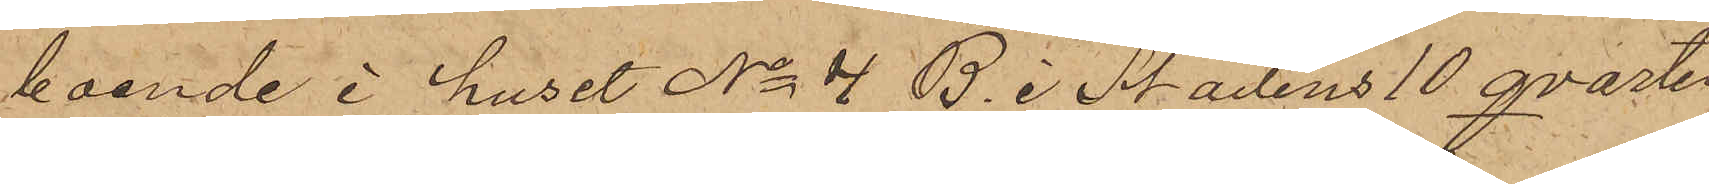boende i huset No 4 B. i Stadens 10 qvarter
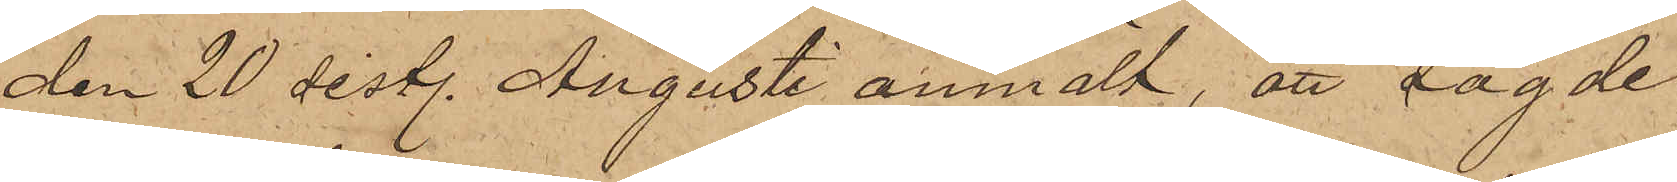den 20 sistl. Augusti anmält, att sagde
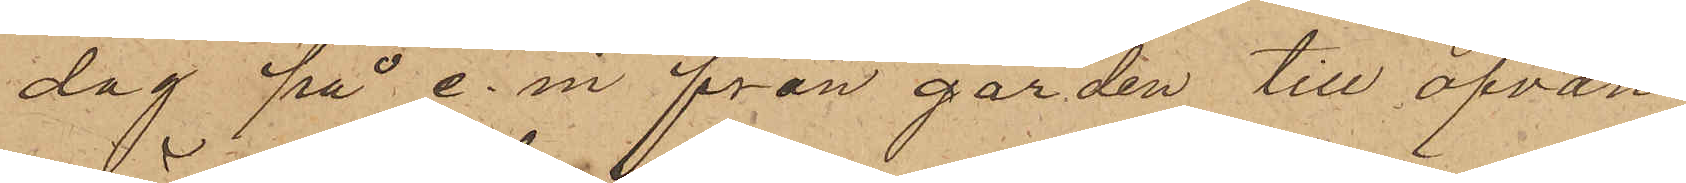dag på e. m. från gården till ofvan¬
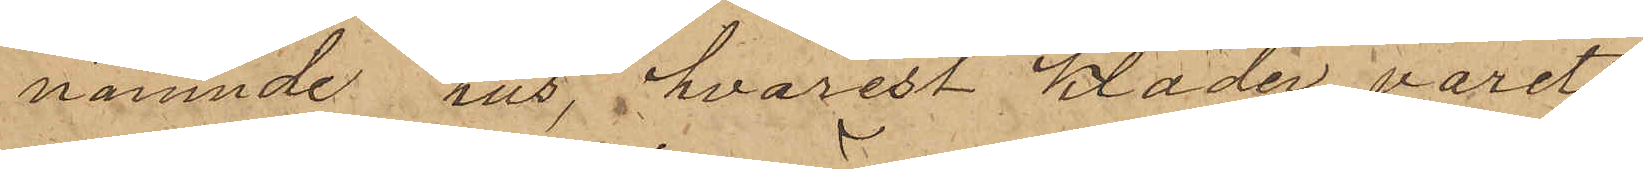nämnde hus, hvarest kläder varit
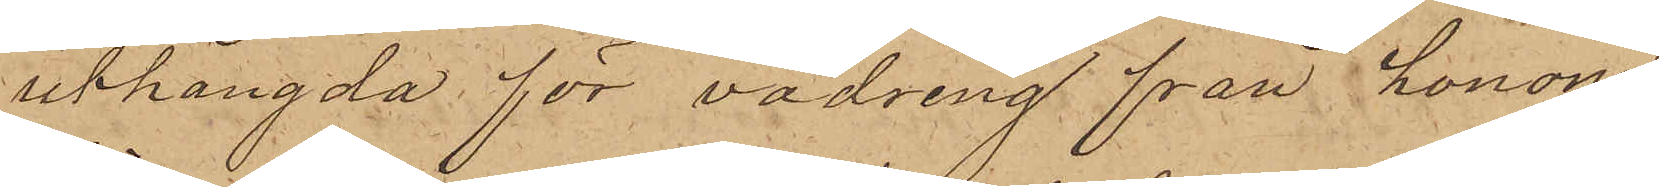uthängda för vädring från honom
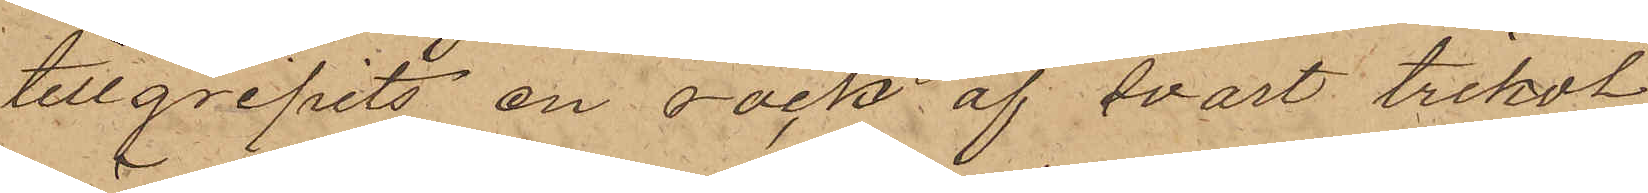tillgripits en rock af svart trikot
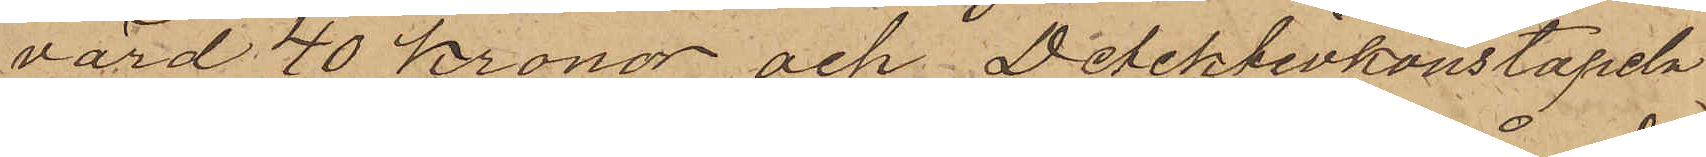värd 40 kronor och Detektivkonstapeln
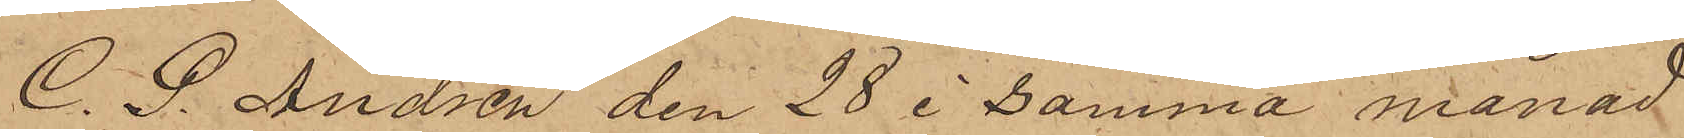C. P. Andrén den 28 i samma månad
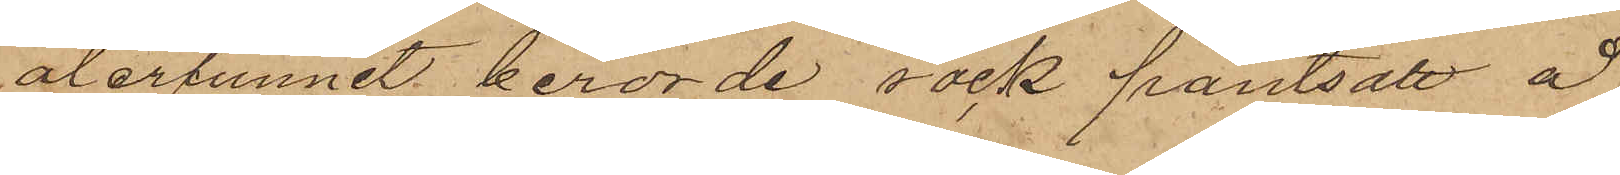återfunnit berörde rock pantsatt å
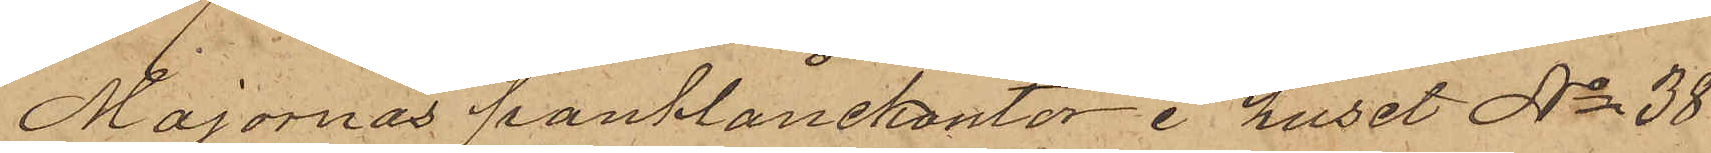Majornas pantlånekontor i huset No 38
